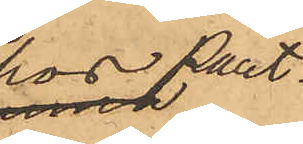hos Pant¬
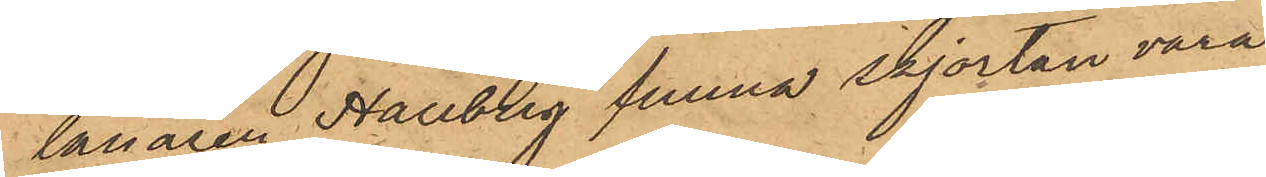lånaren Hallberg funna skjortan vara
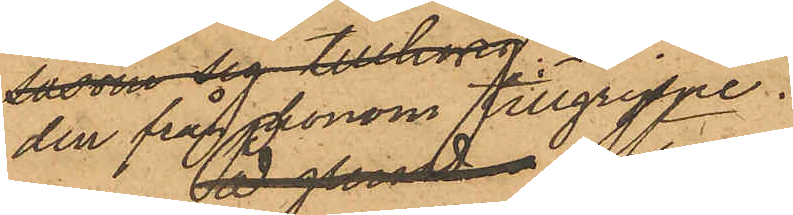den från honom tillgripne.
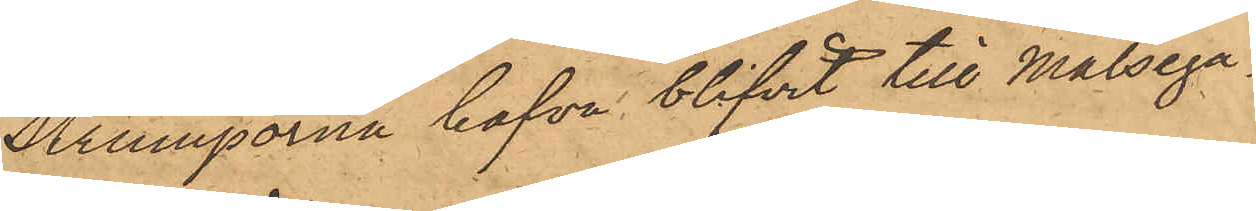Strumporna hafva blifvit till Målsega¬
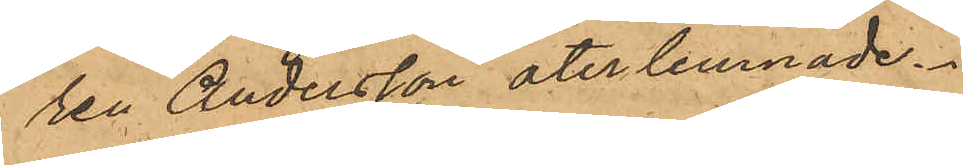ren Andersson återlemnade.
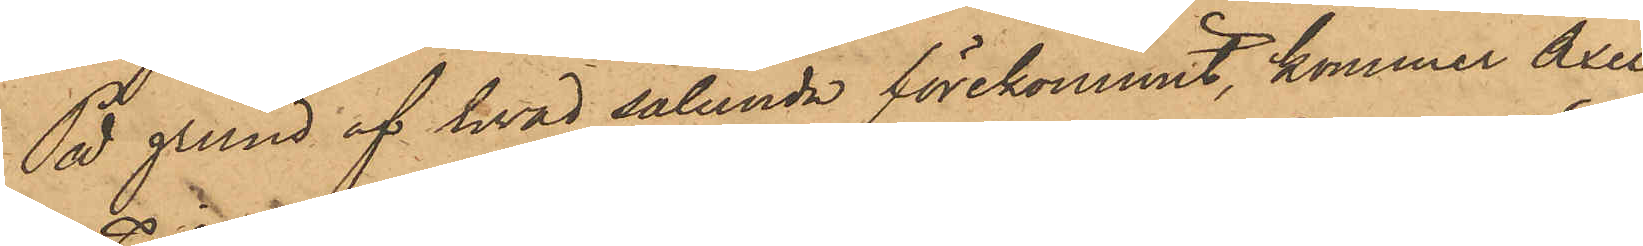På grund af hvad sålunda förekommit, kommer Axel
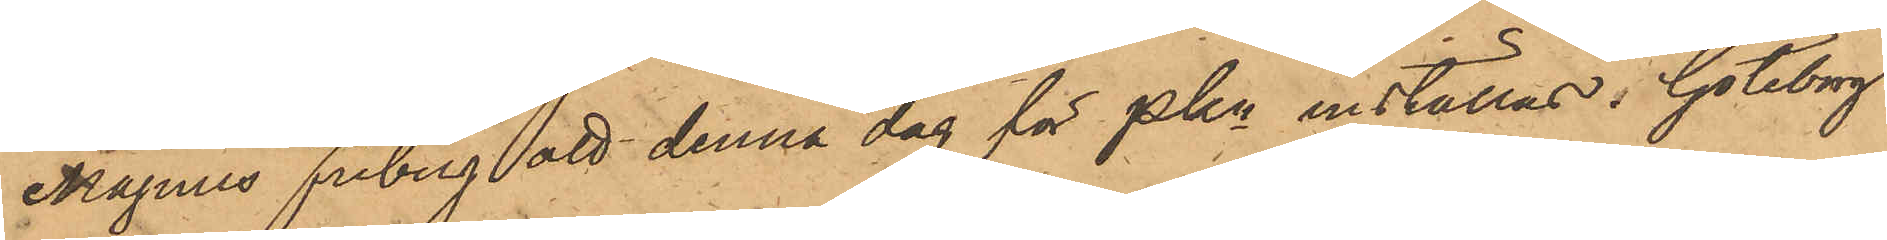Magnus Friberg att denna dag för Pkn inställas. Göteborg
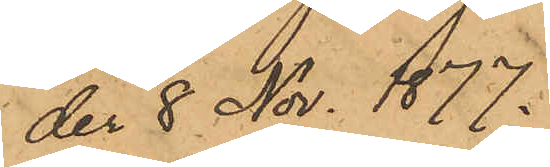den 8 Nov. 1877.
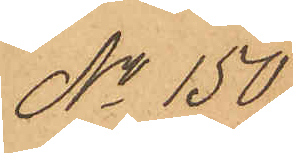No 150.
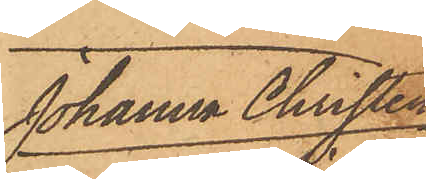Johanna Christen¬
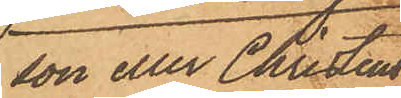son eller Christens¬
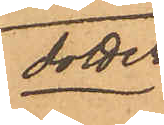dotter.
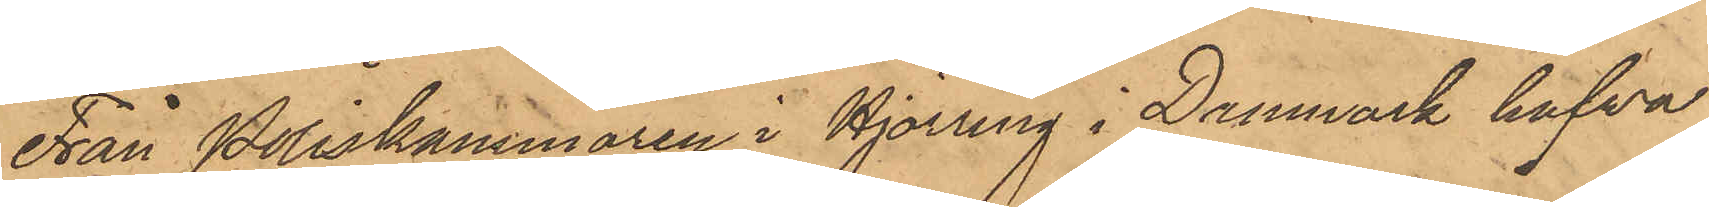Från Poliskammaren i Hjörring i Danmark hafwa
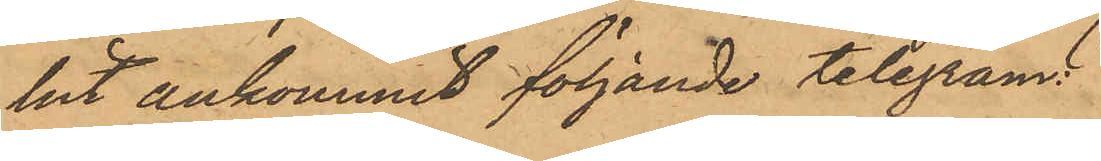hit ankommit följande telegram:
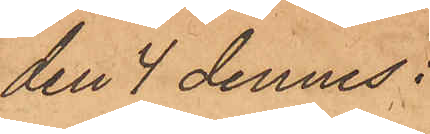den 4 dennes:
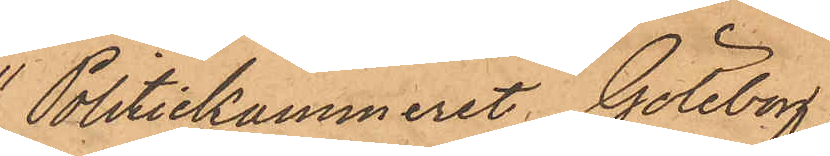"Politiekammeret Göteborg.
